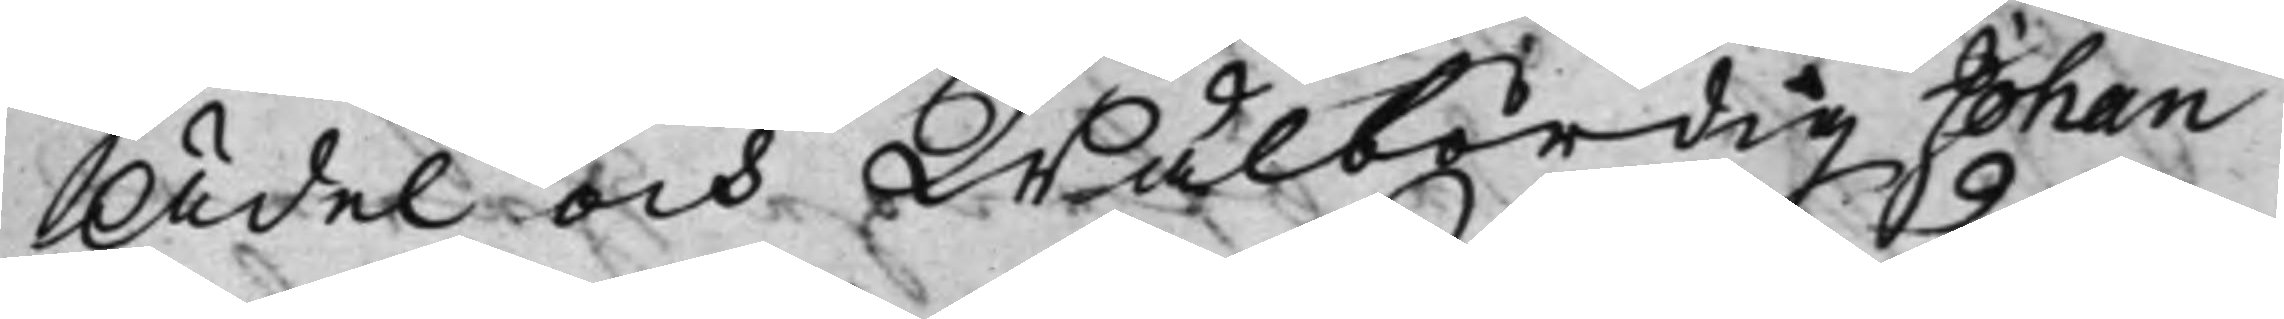Ädel och Wälbördig Johan
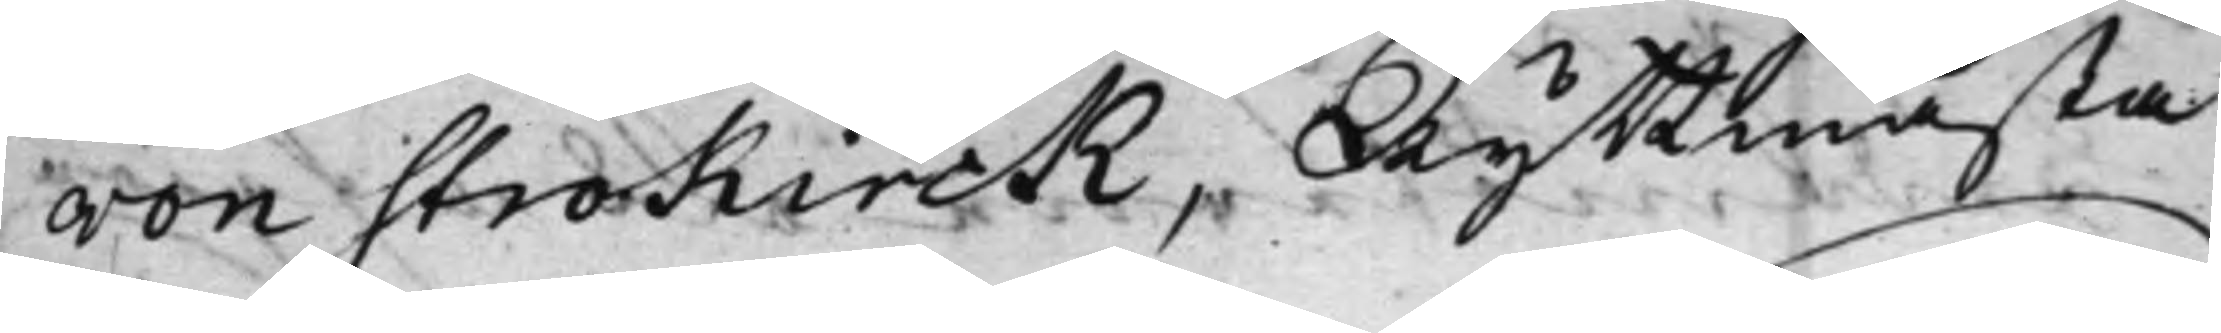von Strokirck, Ryttmästa¬
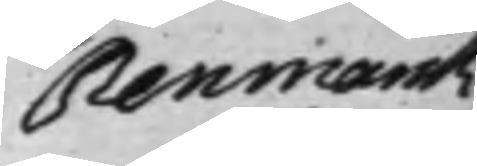Renmarck
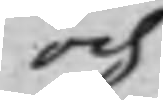och
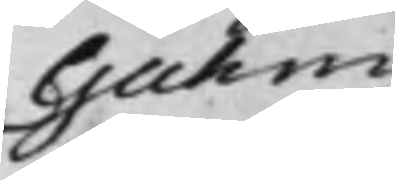Gahm
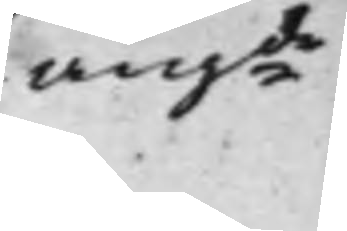angde
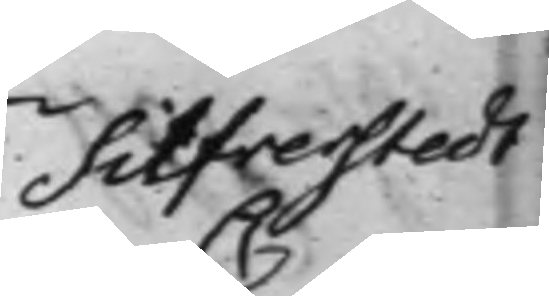Silfverstedt
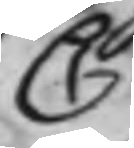C
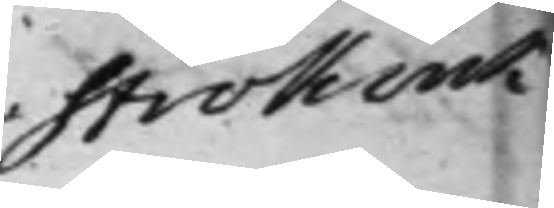Strokirck
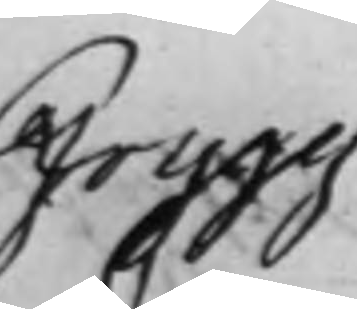Frygg
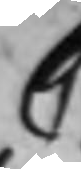C
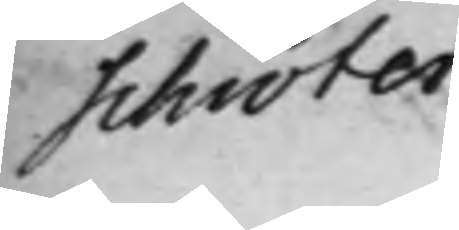Schröter
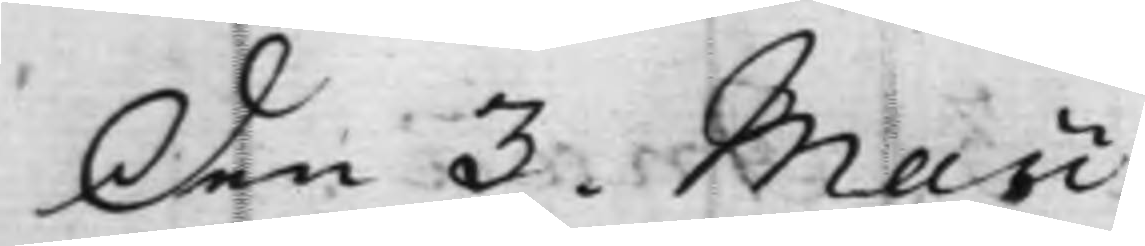Den 3. Maii
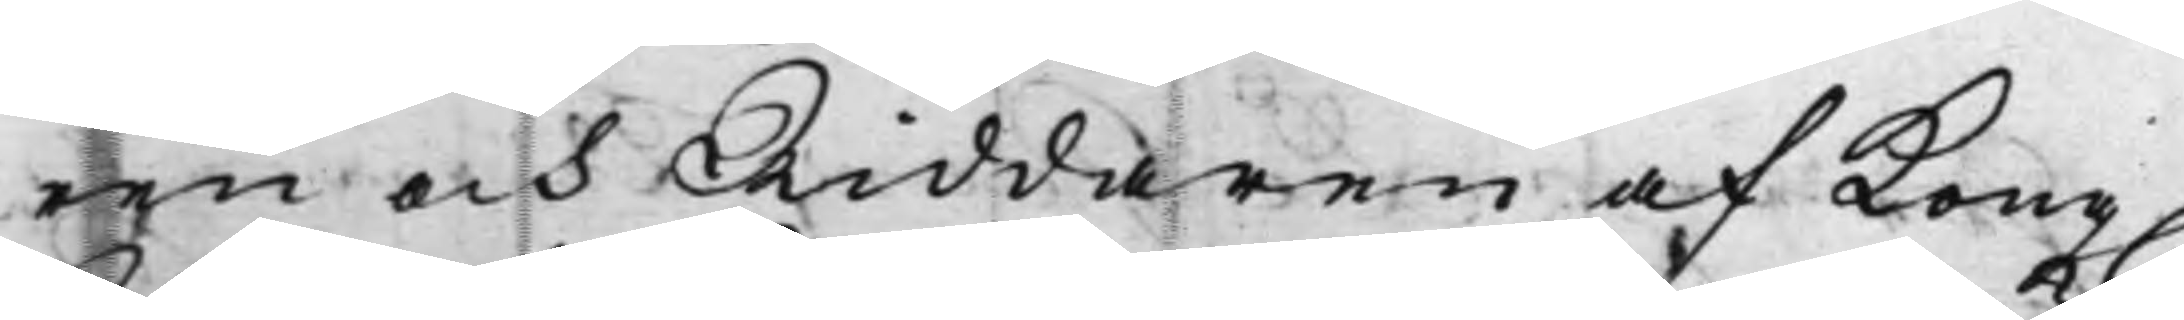ren och Riddaren af Kong.
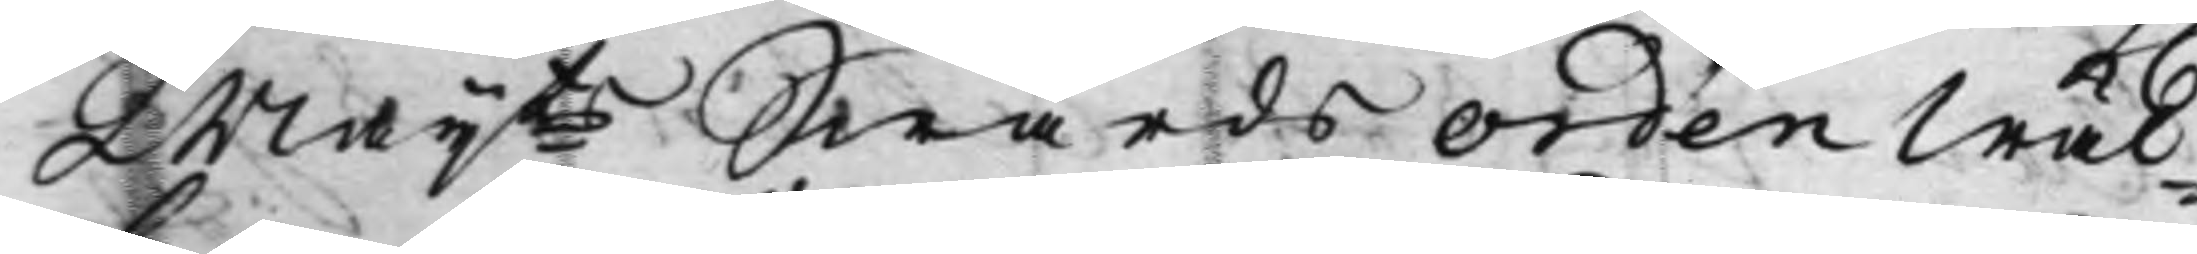Maijts Swärds Orden Wäl¬
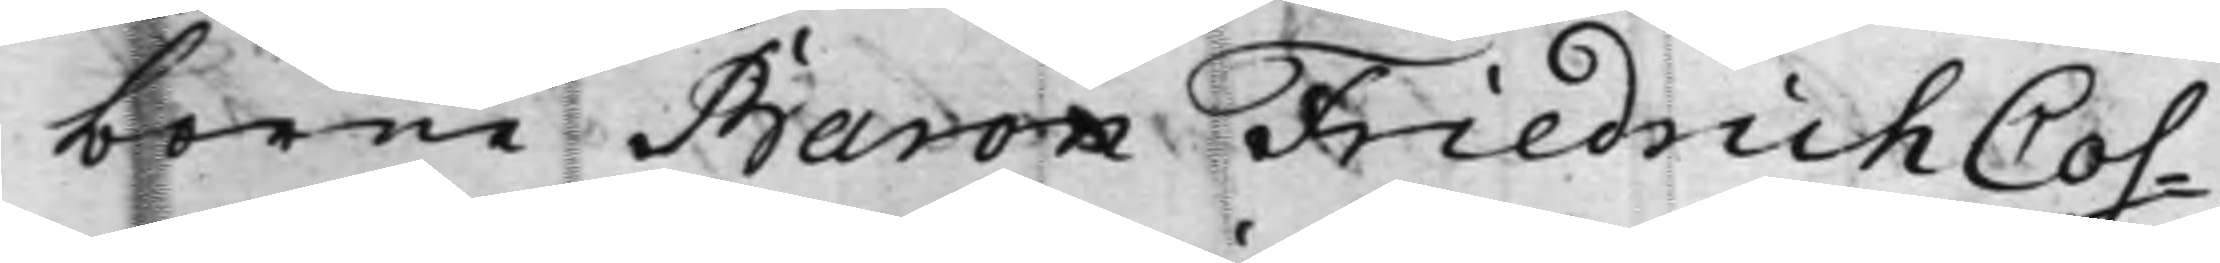borne Baron Friedrich Cos¬
